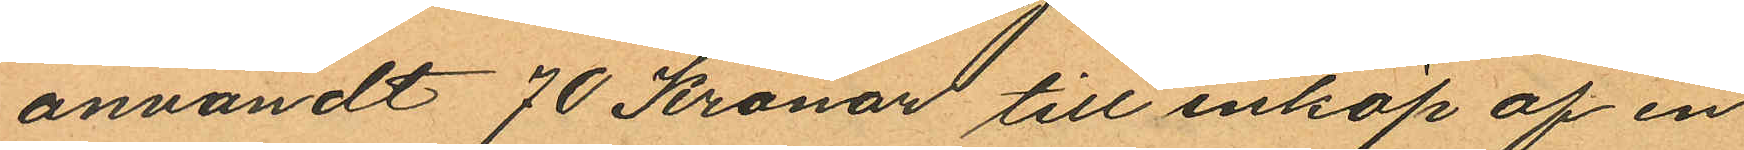användt 70 Kronor till inköp af en
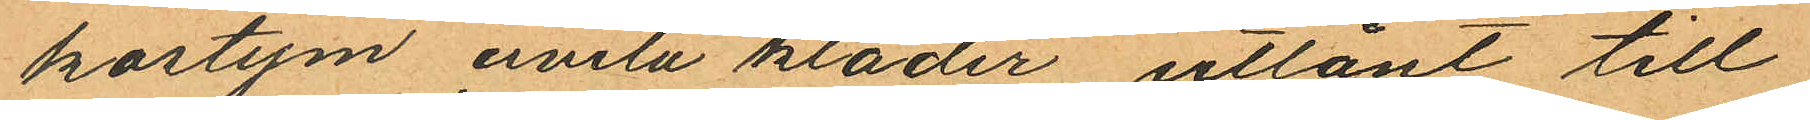kostym civila kläder utlånt till
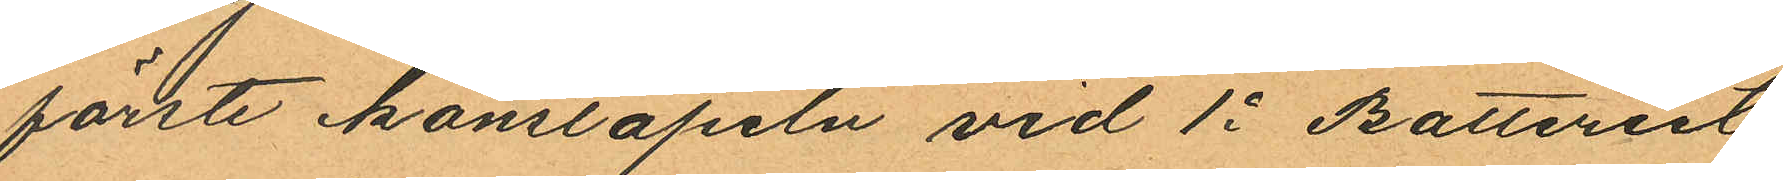förste konstapeln vid 1o Batteriet
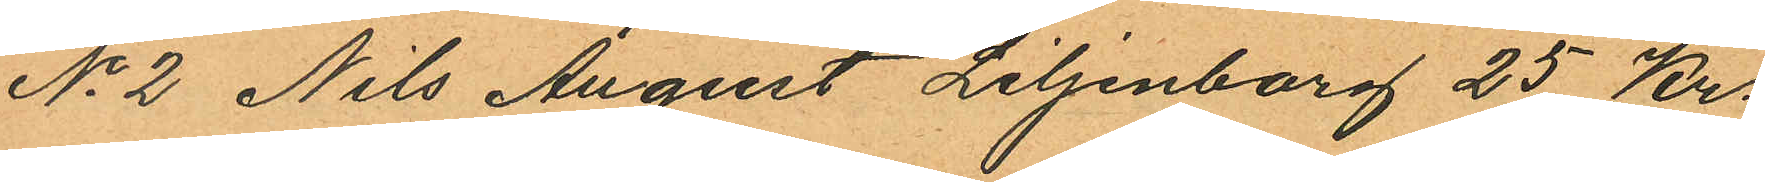No 2 Nils August Liljenborg 25 Kr.
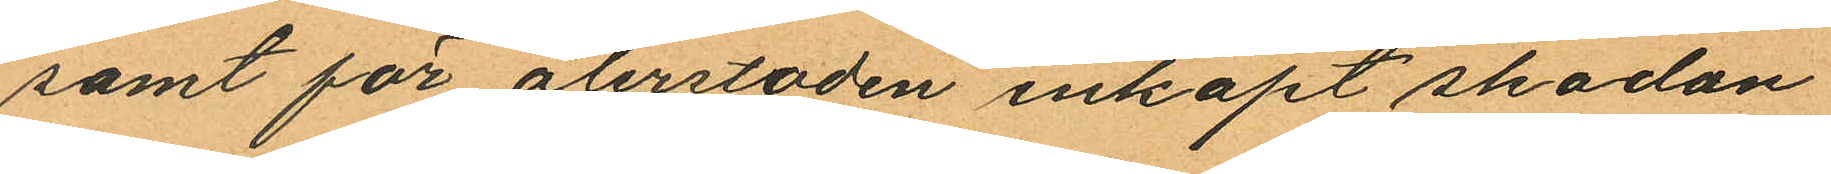samt för återstoden inköpt skodon
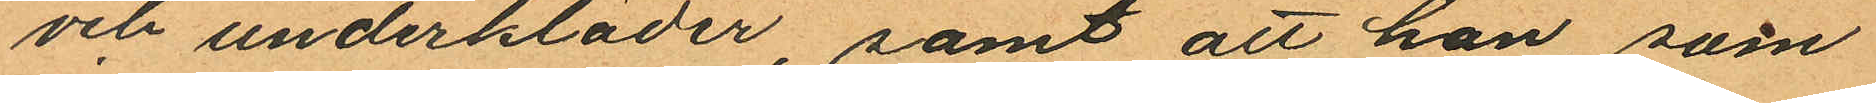och underkläder samt att han, som
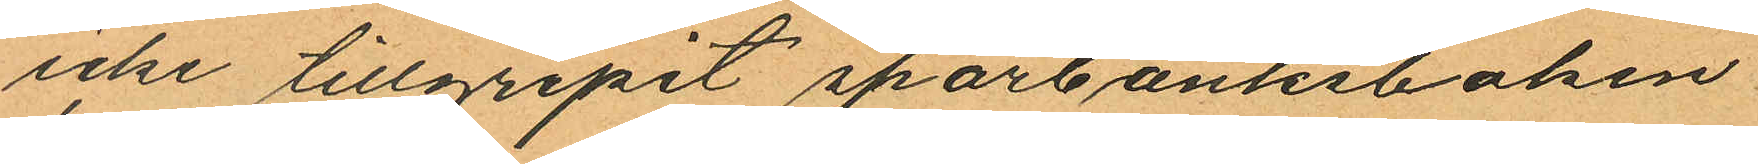icke tillgripit sparbanksboken
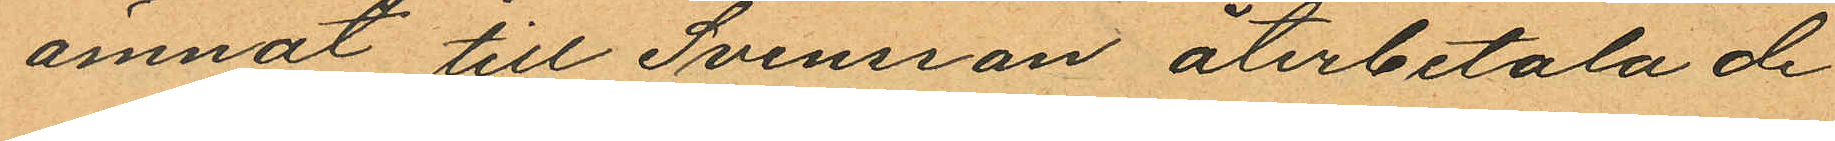ämnat till Svensson återbetala de
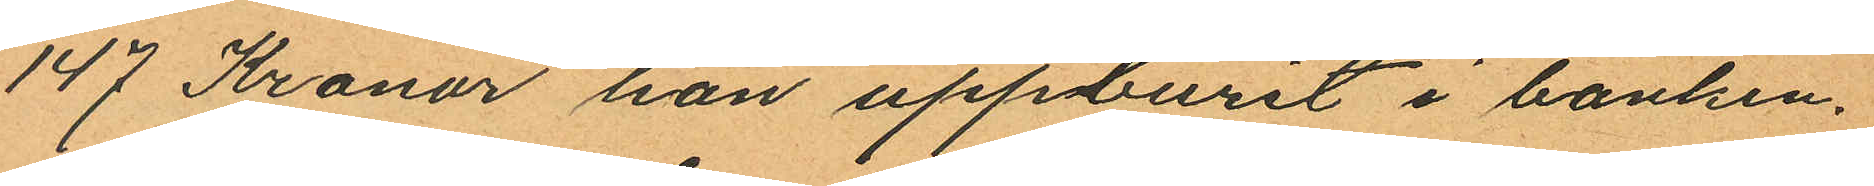147 Kronor han uppburit i banken.
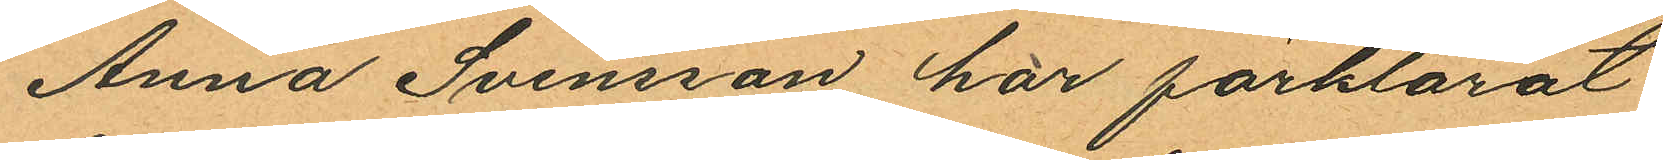Anna Svensson har förklarat
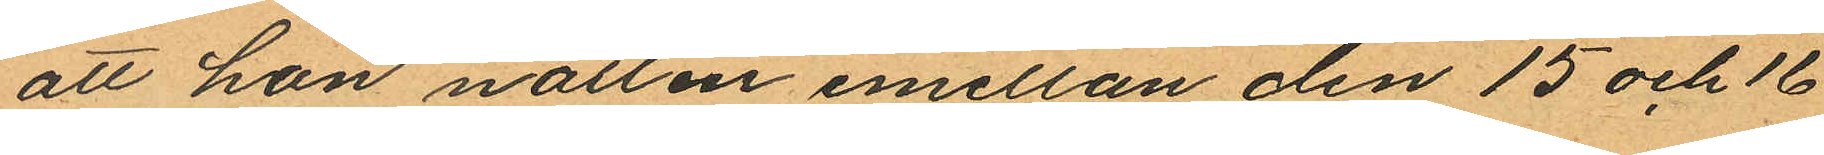att hon natten emellan den 15 och 16
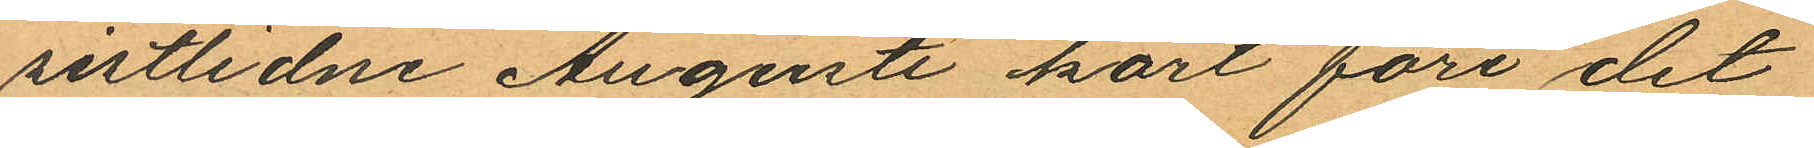sistlidne Augusti kort före det
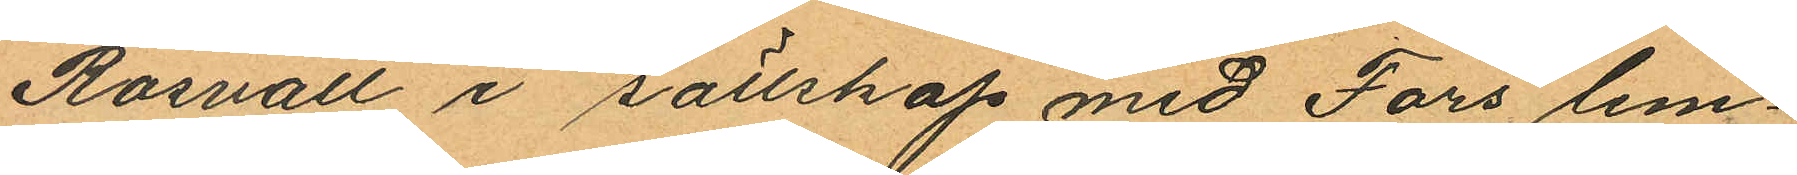Rosvall i sällskap med Fors lem¬
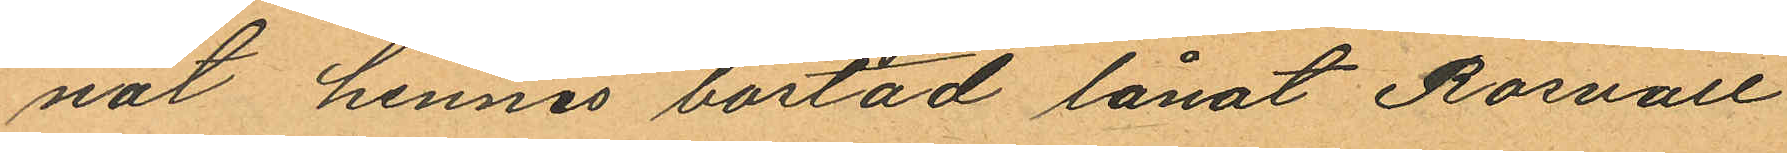nat hennes bostad lånat Rosvall
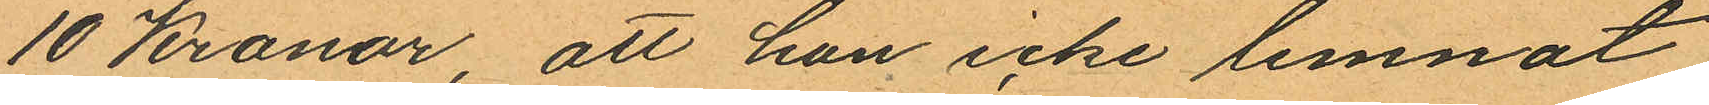10 Kronor, att hon icke lemnat
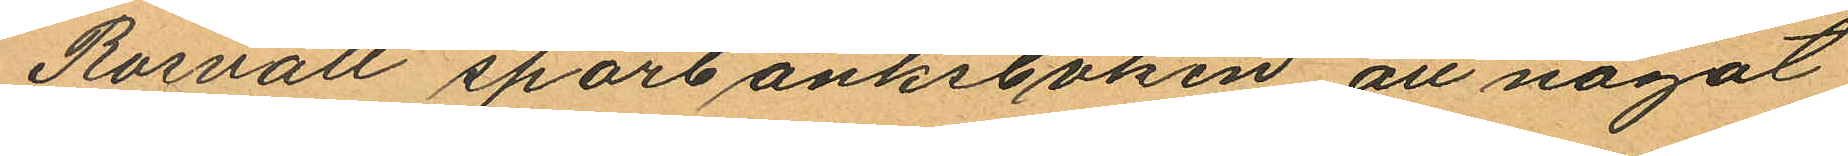Rosvall sparbanksboken, att något
